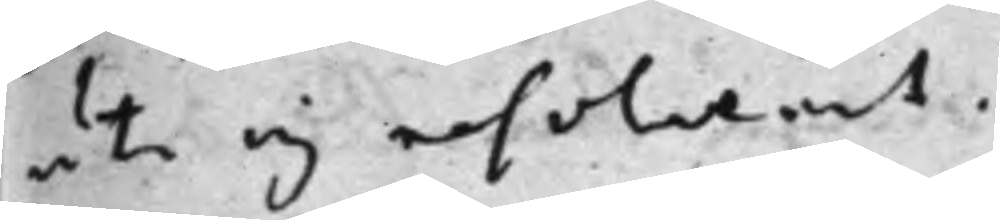uti ej resolverat.
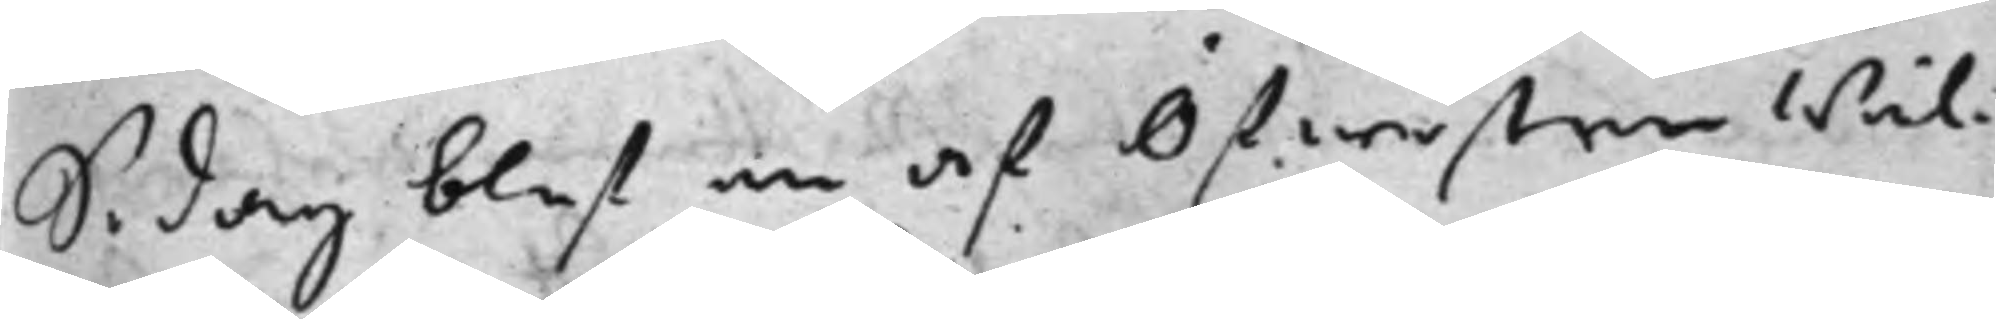S. dag blef en af Öfwersten Wäl¬
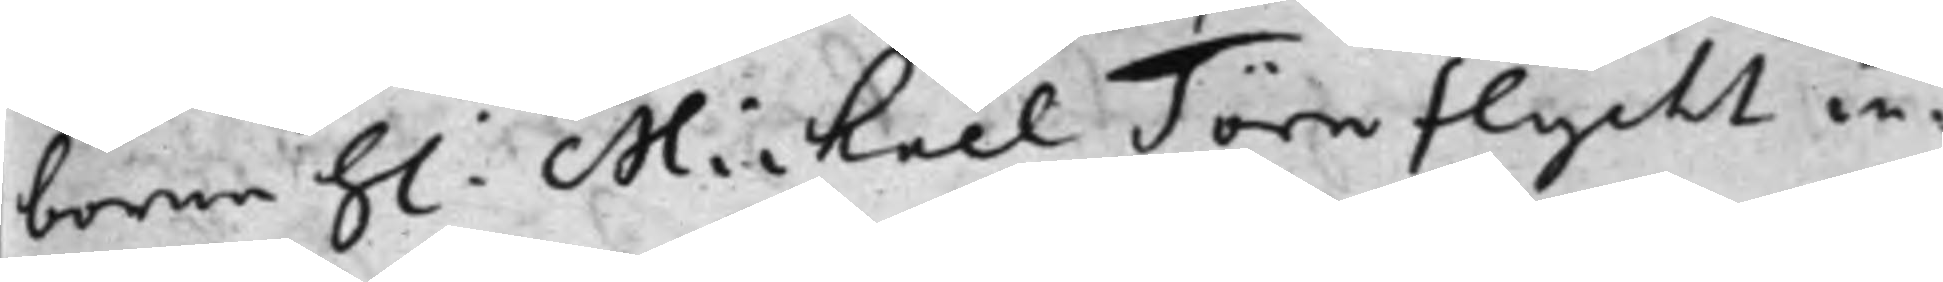borne h: Michael Törnflycht in¬
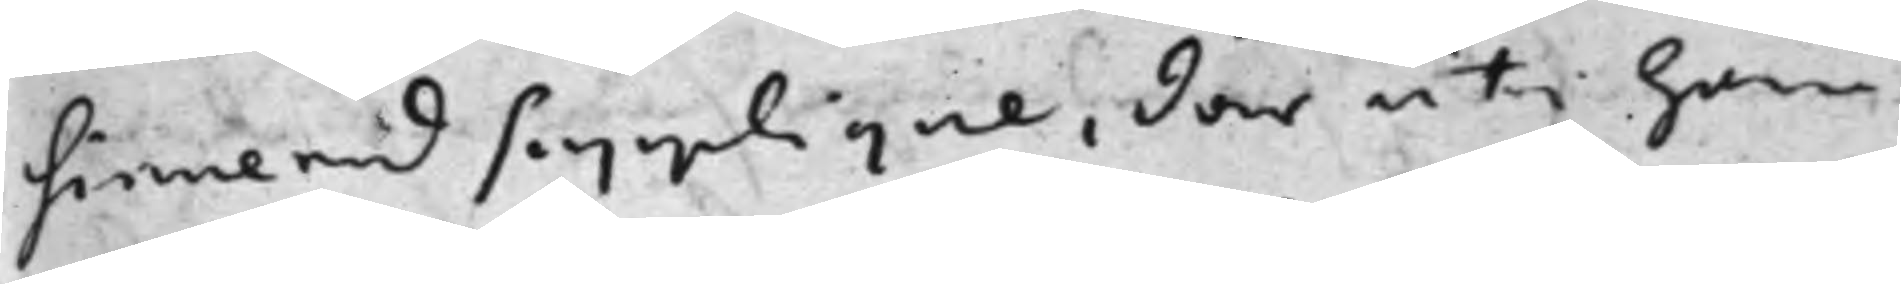sinuerad Supplique, där uti han
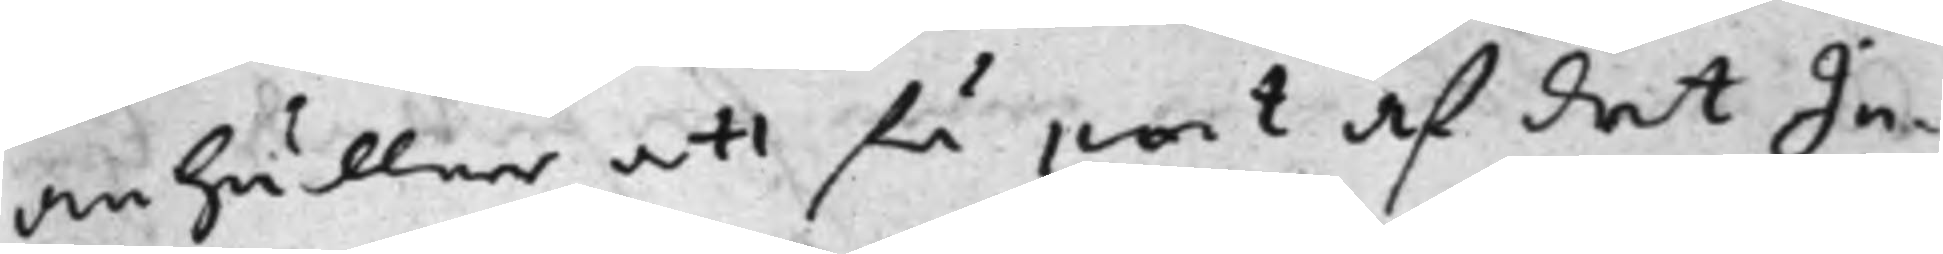anhåller att få pant af det In¬
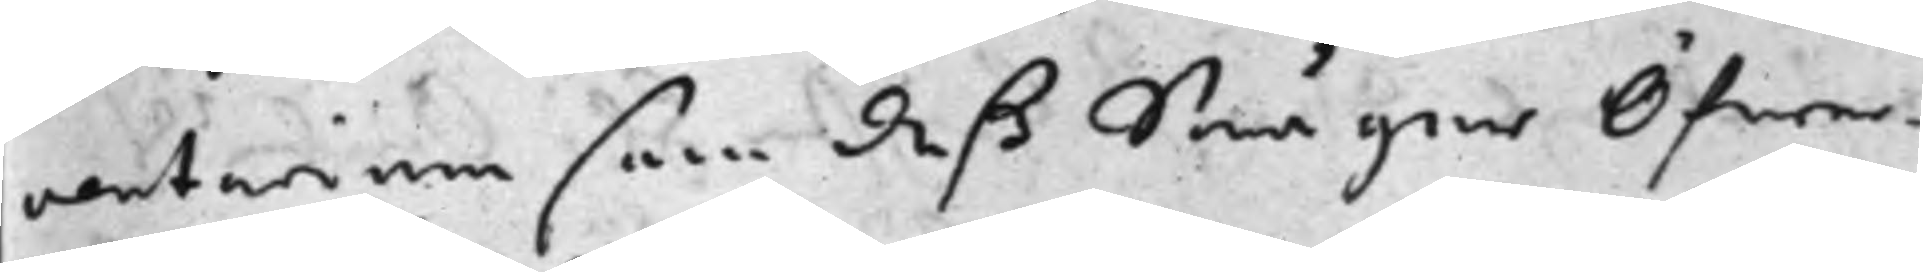ventarium som deß Swåger Öfwer¬
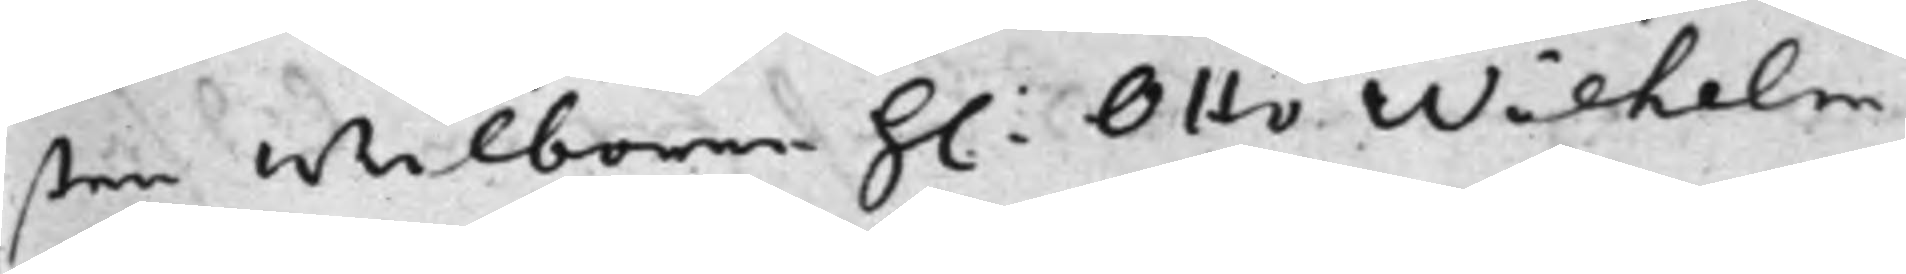sten Wälborne h: Otto Wilhelm
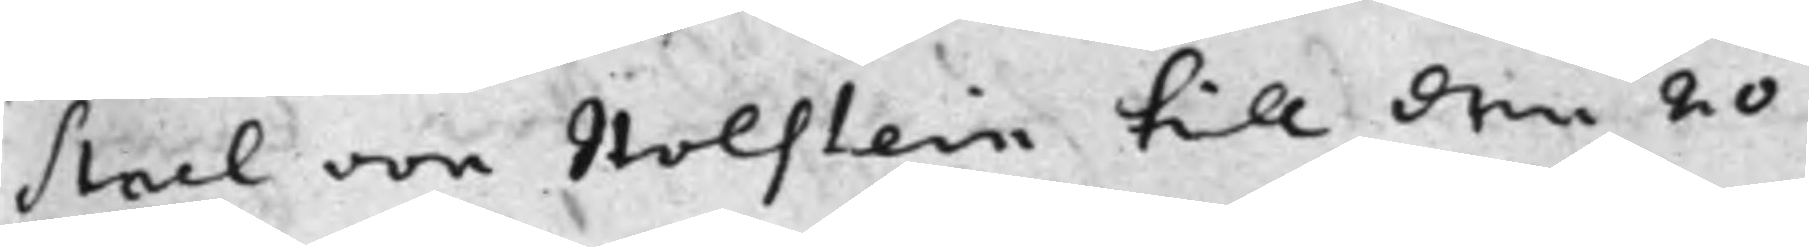Stael von Holstein till den 20
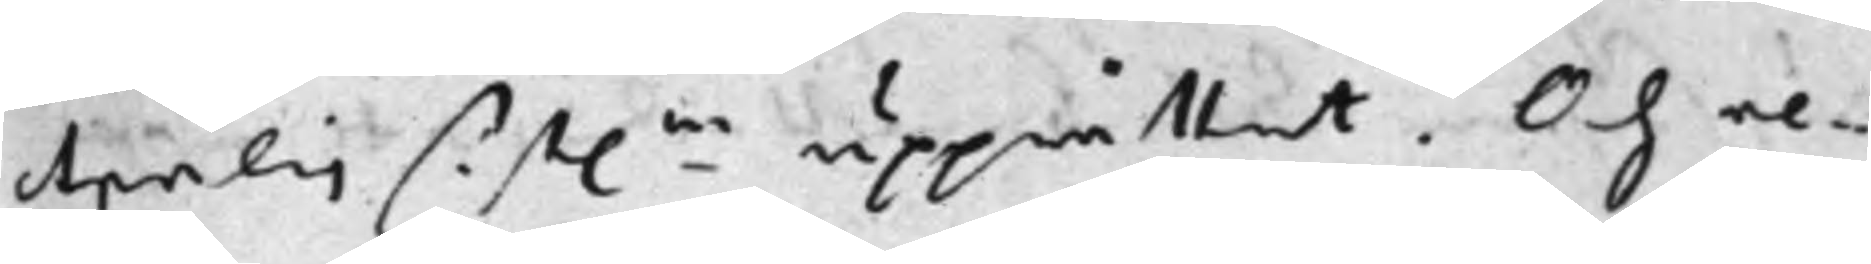Aprilis sist.ne upprättat. Och re¬
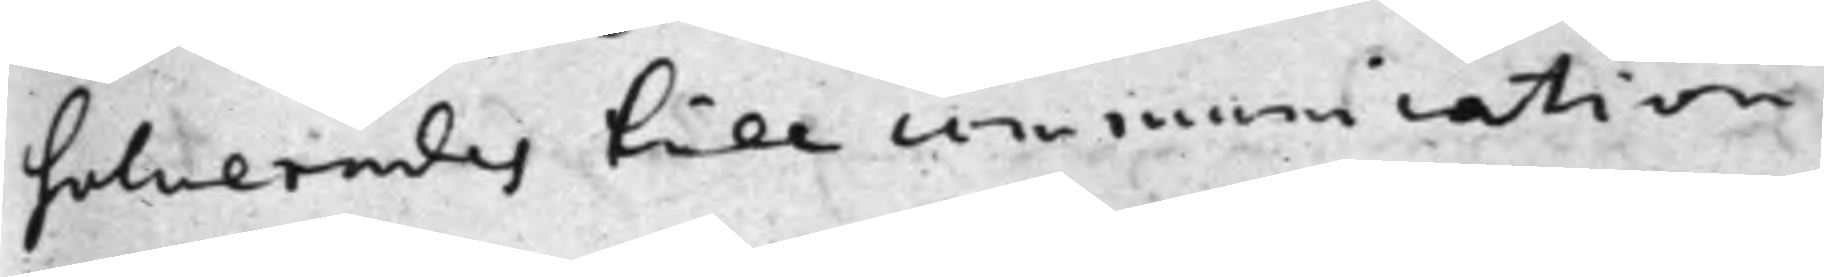solverades till communication
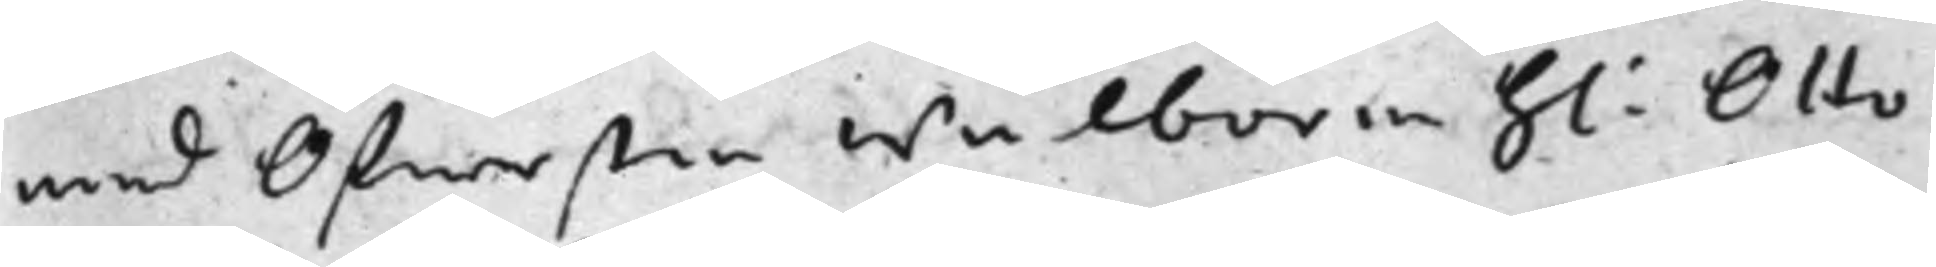med Öfwersten Wälborne H: Otto
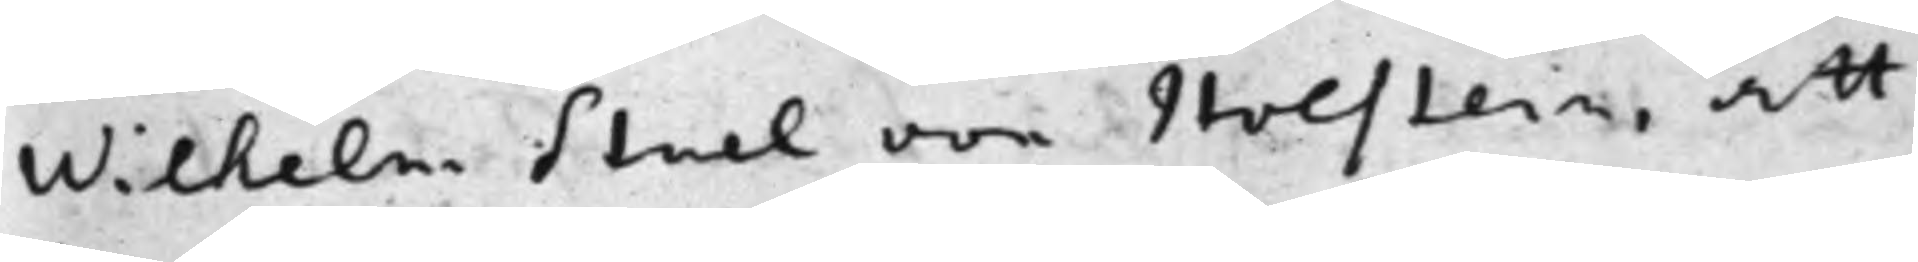Wilhelm Stael von Holstein, att
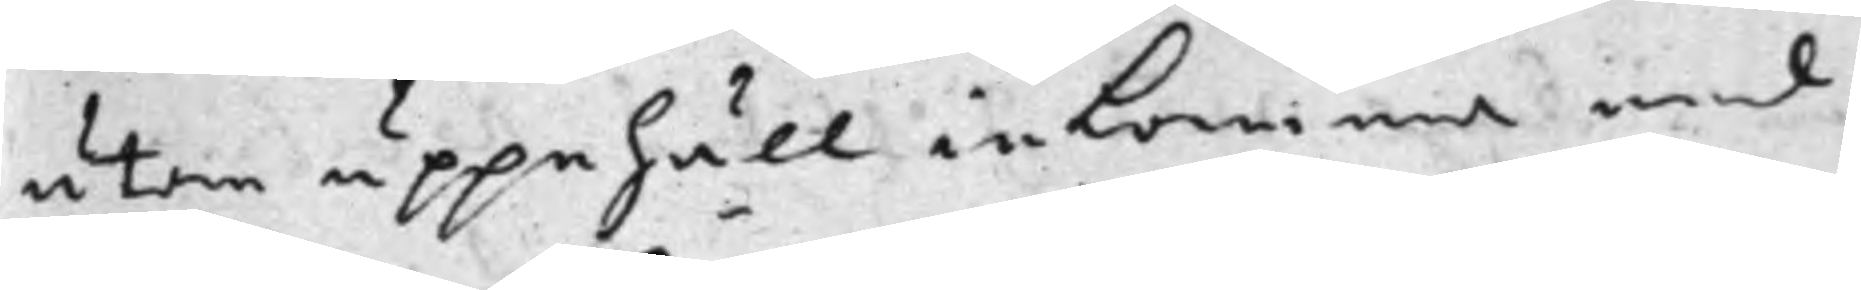utan uppehåll inkomma med
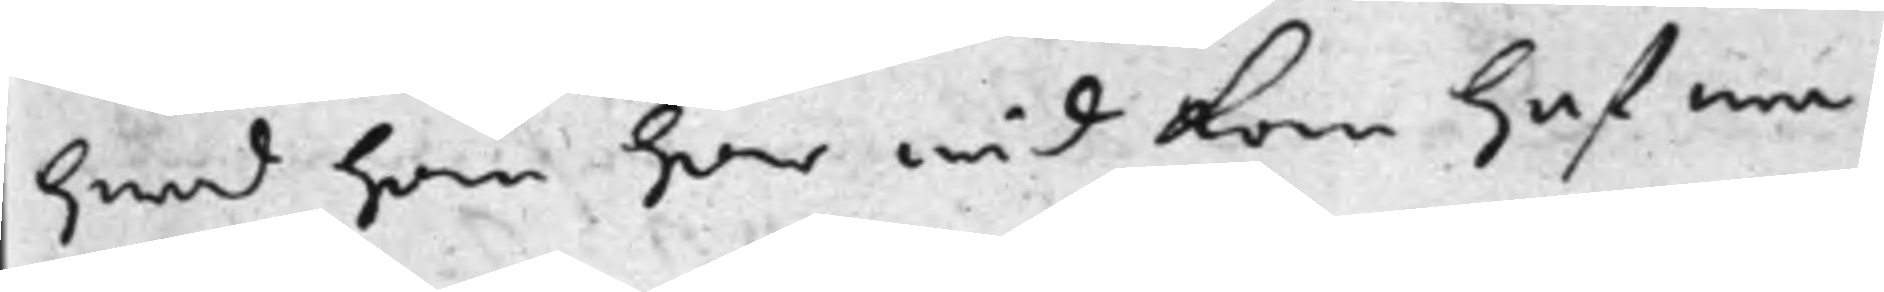hwad han här wid kan hafwa
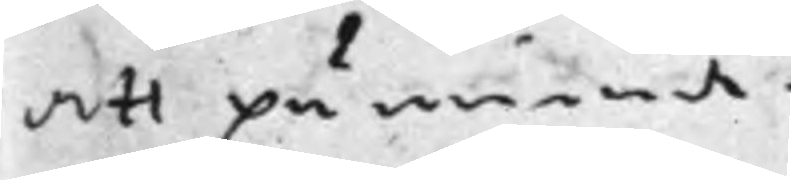att påminna.
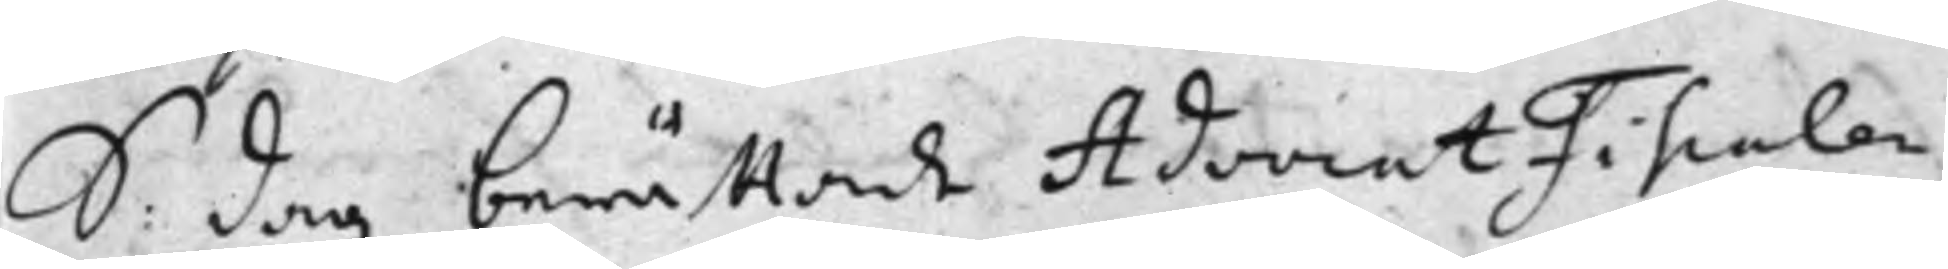S: dag berättade AdvocatFiscalen
